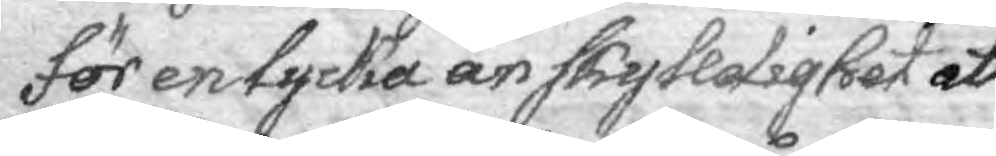för en lycka än skylldighet att
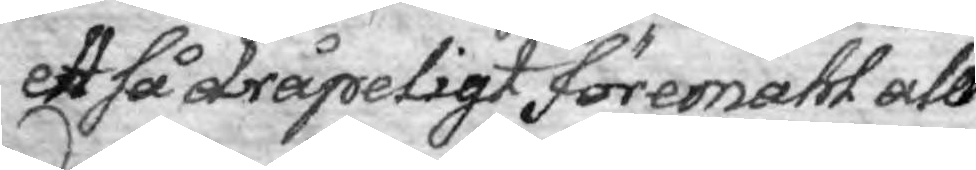ett så dråpeligt föremåhl all¬
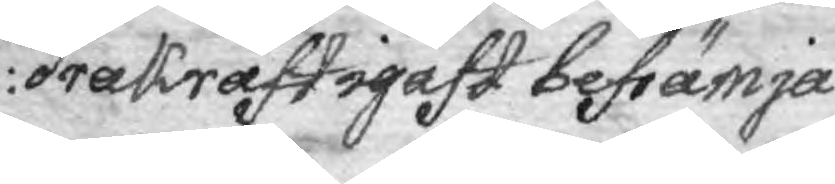dra kraftigast befrämja.
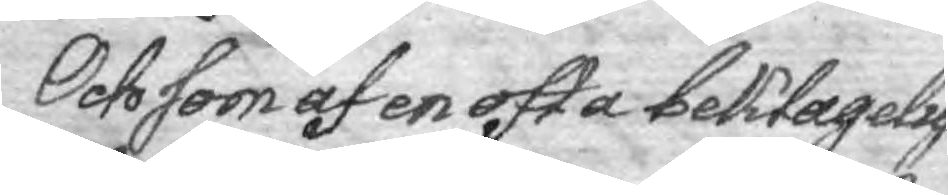Och som af en ofta beklagelig
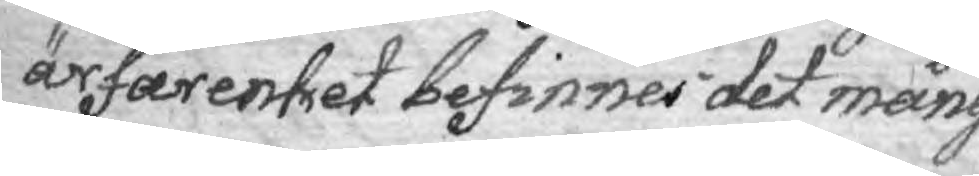ärfarenhet befinner det mång
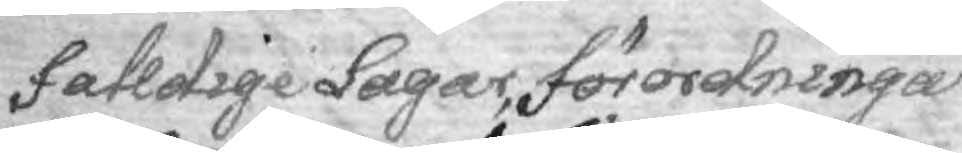falldige Lagar, förordningar
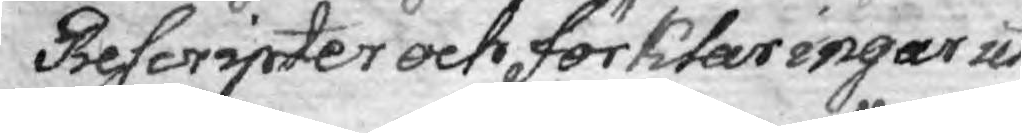Rescripter oct förklaringar uti
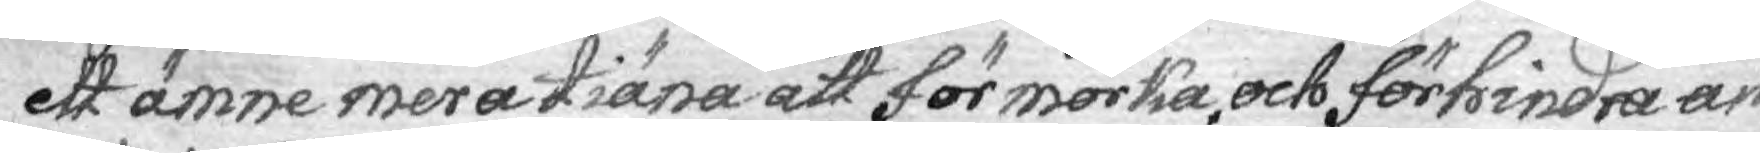ett ämne mera tiäna att förmörka och förhindra än
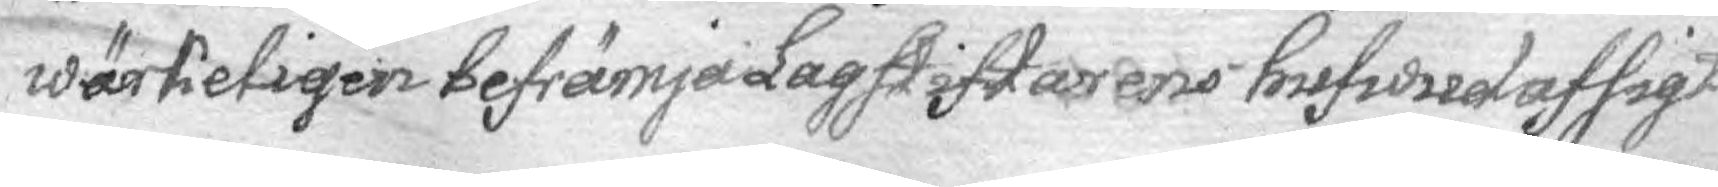wärkeligen befrämja Lagstiftarens hufwudafsigt
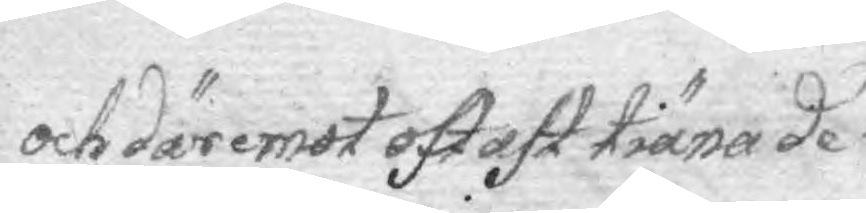och däremot oftast tiäna de
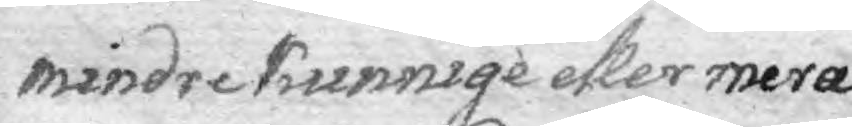mindre kunnige eller mera
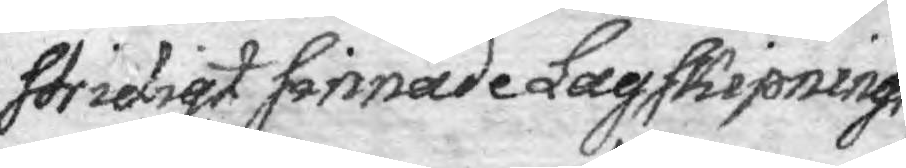stridigt sinnade Lagskipnings¬
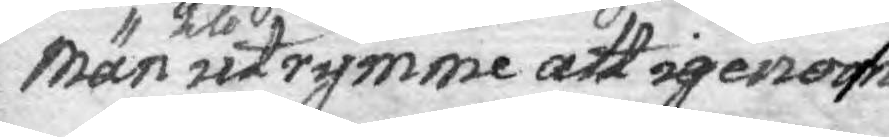män till utrymme att igenom
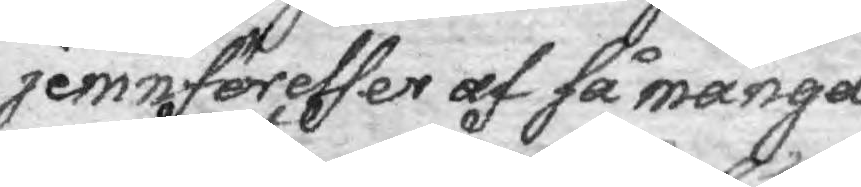jemnförelser af så många
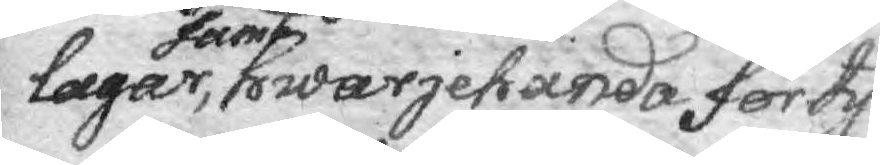lagar, samt hwarjehanda förtyd¬
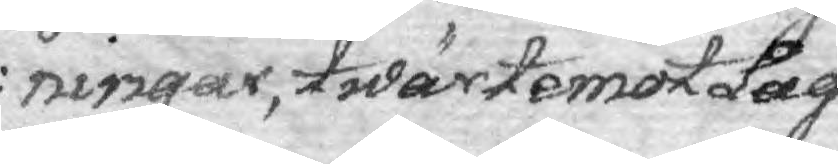ningar, twärtemot Lag
